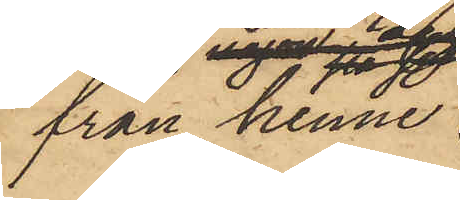från henne
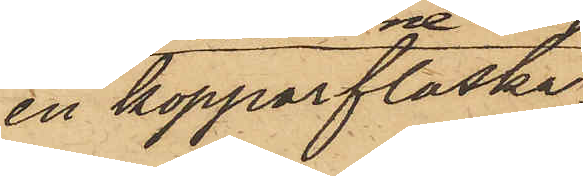en kopparflaska,
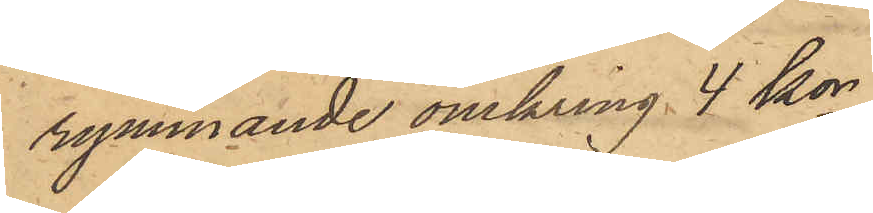rymmande omkring 4 kor,
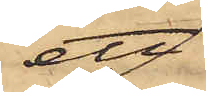ett
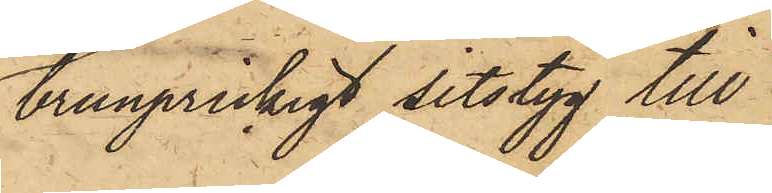brunprickigt sitstyg till
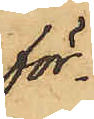för¬
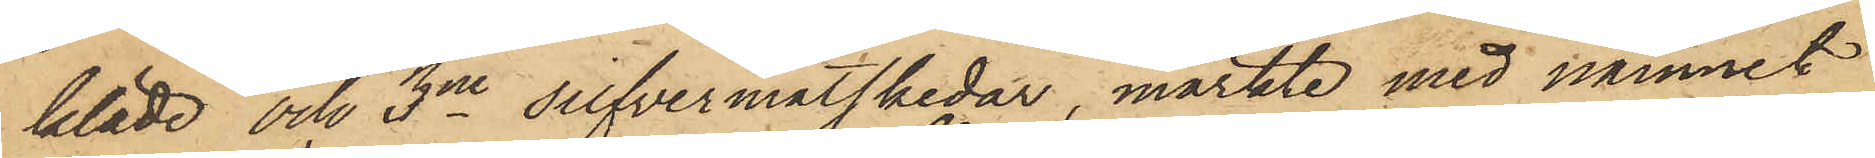kläde och 3ne silfvermatskedar, märkte med namnet
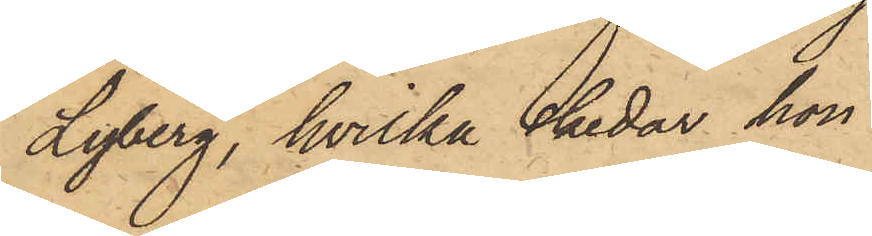Lyberg, hvilka skedar hon
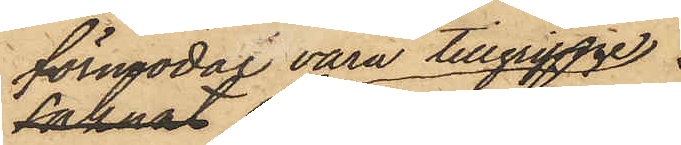förmodar vara tillgripne
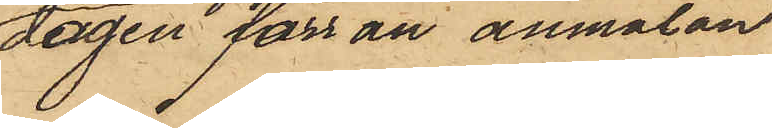dagen förr än anmälan
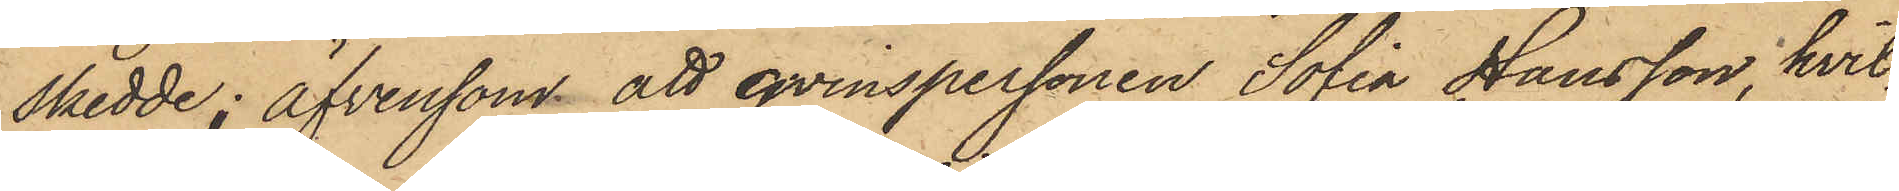skedde; äfvensom att qvinspersonen Sofia Hansson, hvil¬
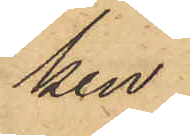ken
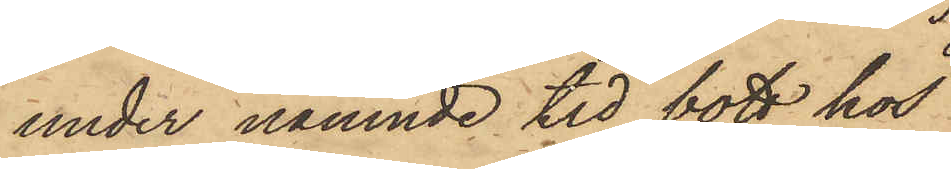under nämnde tid bott hos
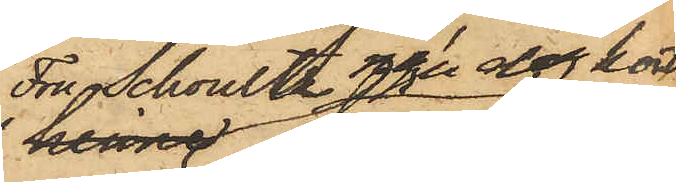Fru Schoultz ngn dag kort
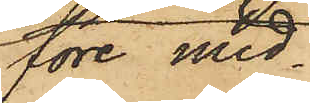före mid¬
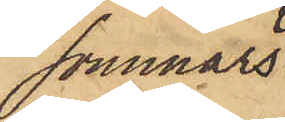sommars¬
